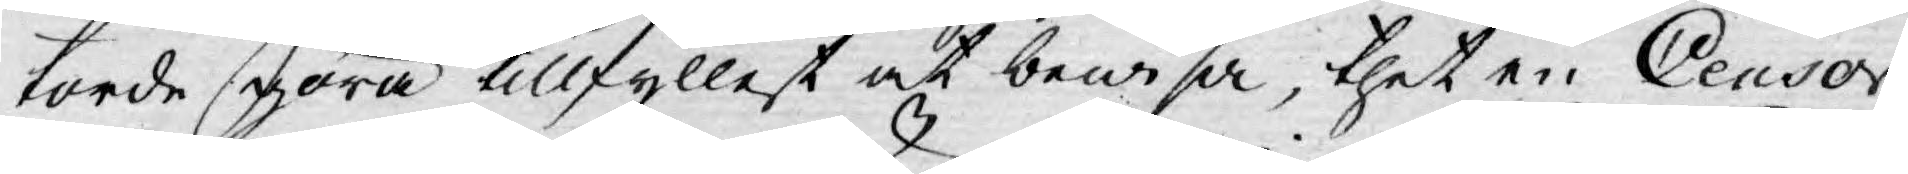torde göra tillfyllest at bewisa, thet en Ceusor
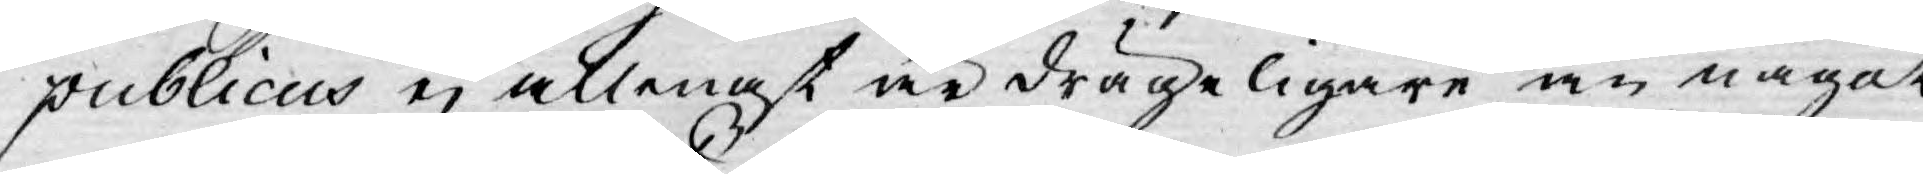publicus ej allenast är drägeligare än något
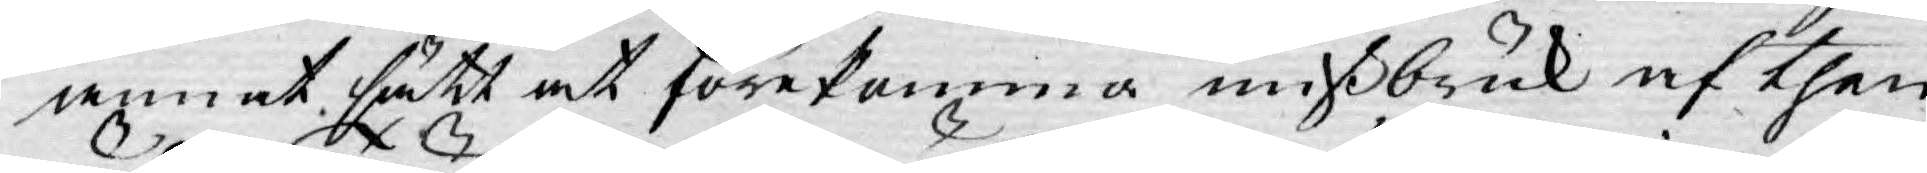annat sätt at förekomma mißbruk af then
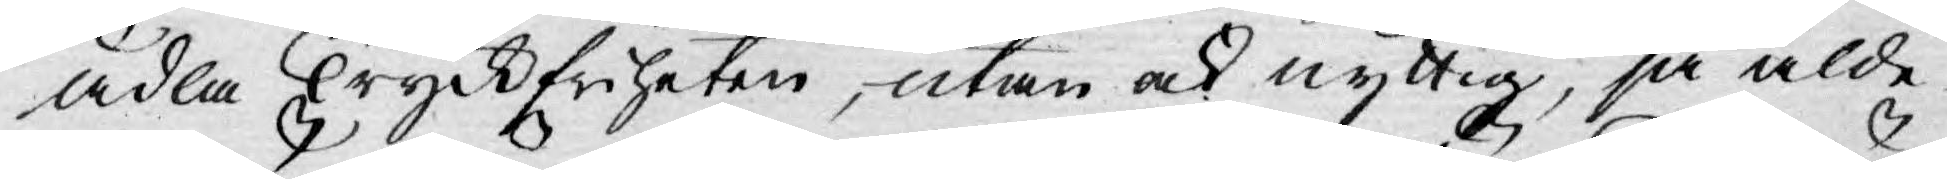ädla Tryckfriheten, utan ock nyttig, ja alde¬
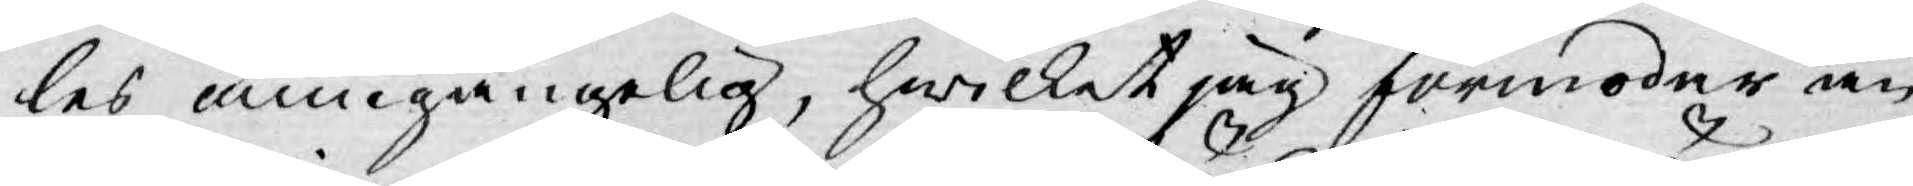les ummgängelig, hwilket jag förmoder än
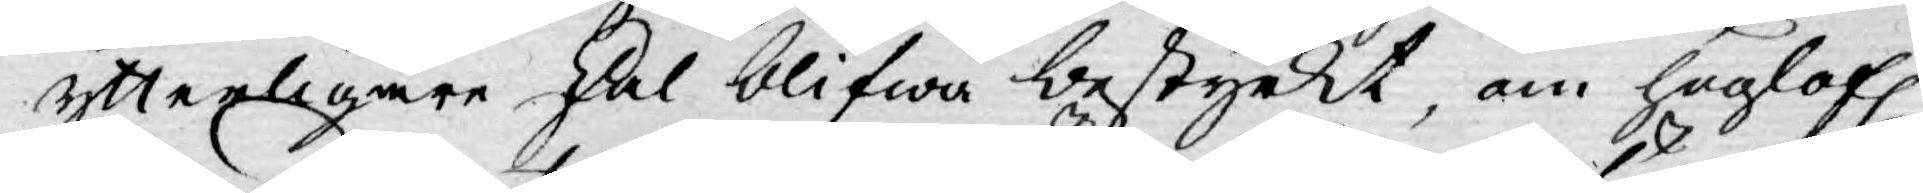ytterligare skal blifwa bestyrkt, om höglofl.
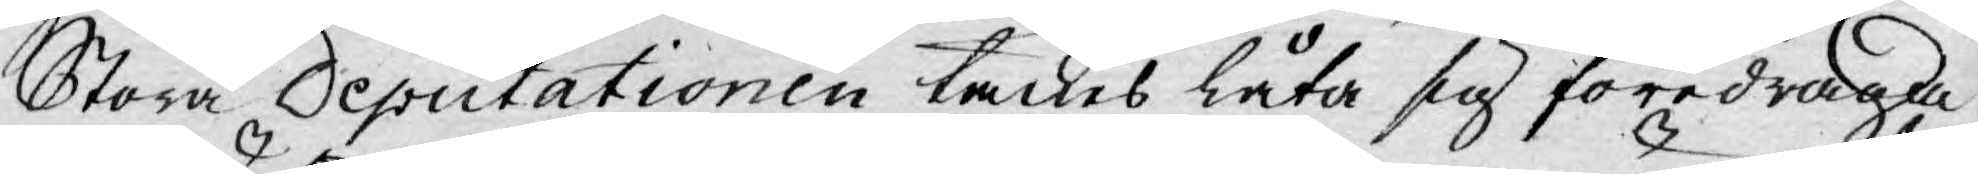Stora Deputationen täckes låta sig föredraga
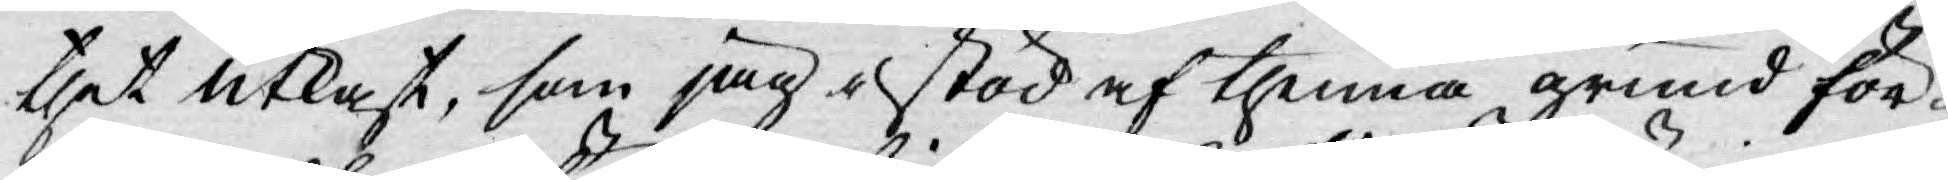thet utkast, som jag i stöd af thenna grund för¬
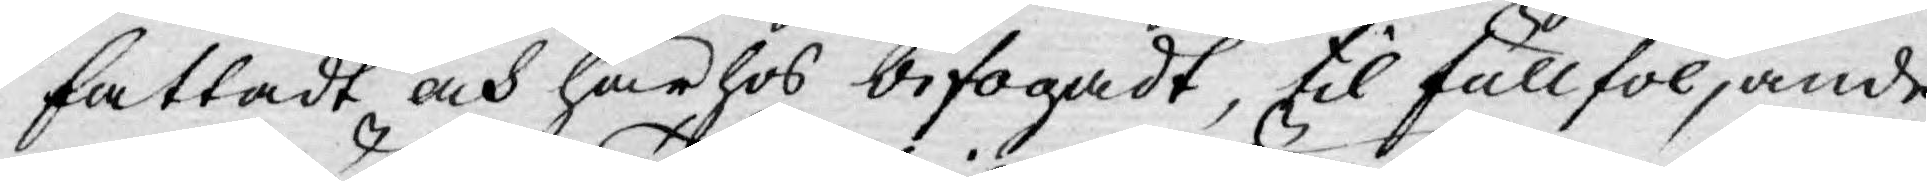fattadt och här hos bifogadt, til fullföljande
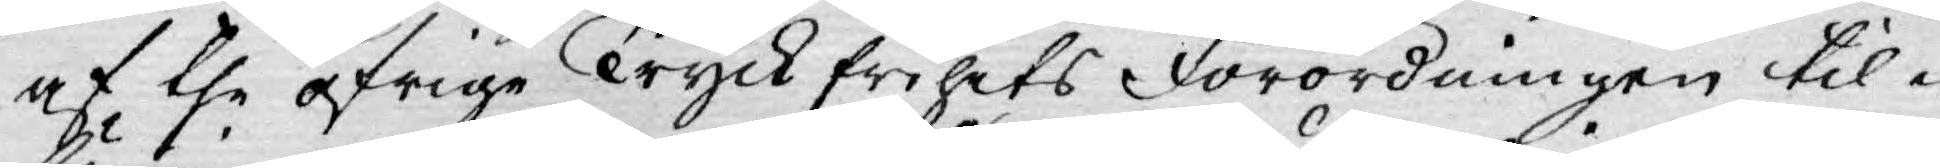af the öfrige Tryckfrihets Förordningen til¬
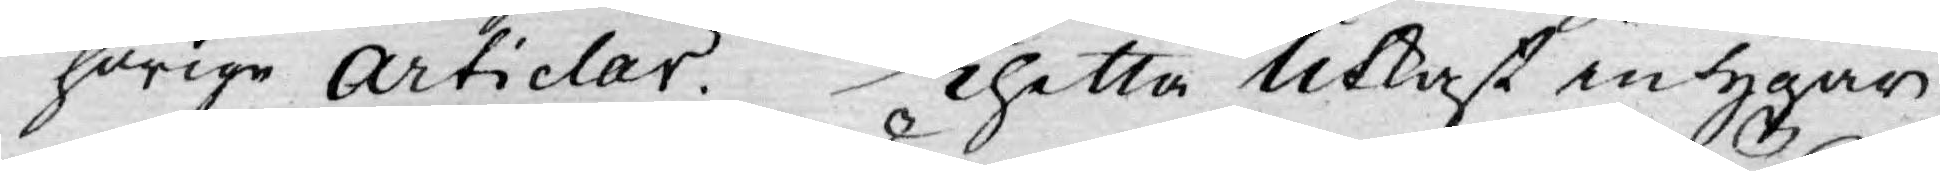hörige Articlar. Thetta Utkast intygar
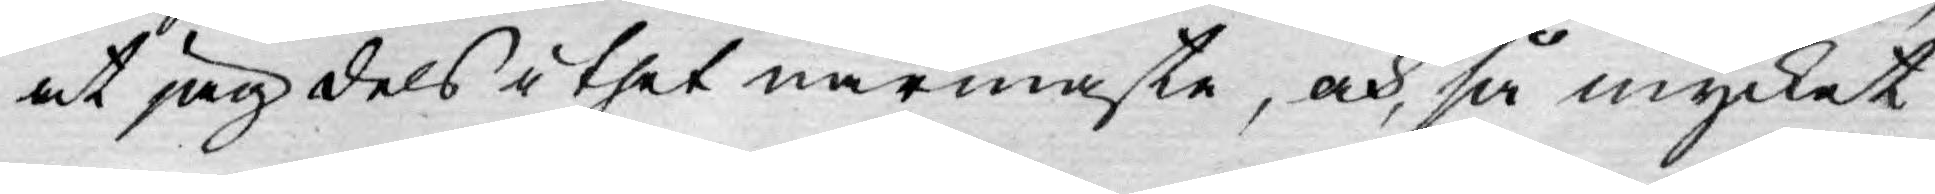at jag dels i thet närmaste, och, så mycket
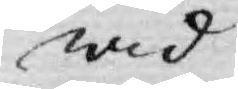wid
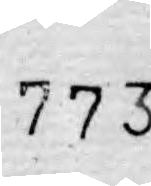773.
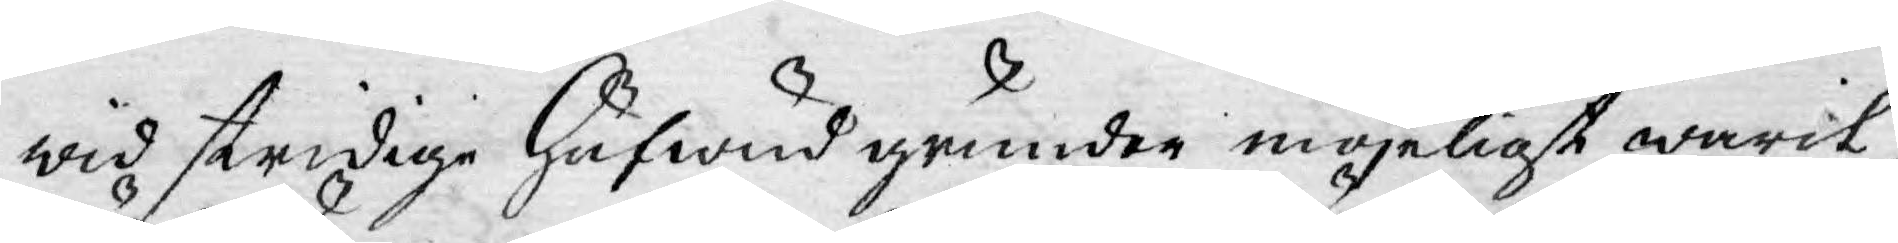wid stridige hufwud grunder möjeligt warit,
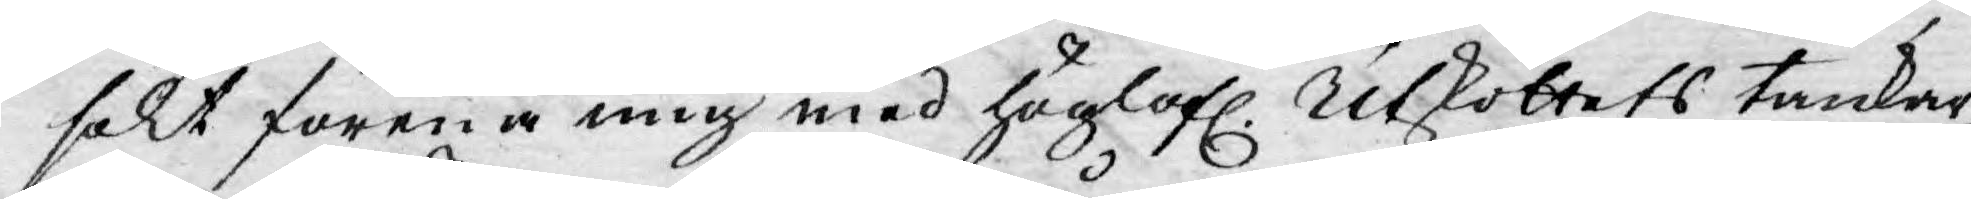sökt förena mig med höglofl. Utskottets tankar,
